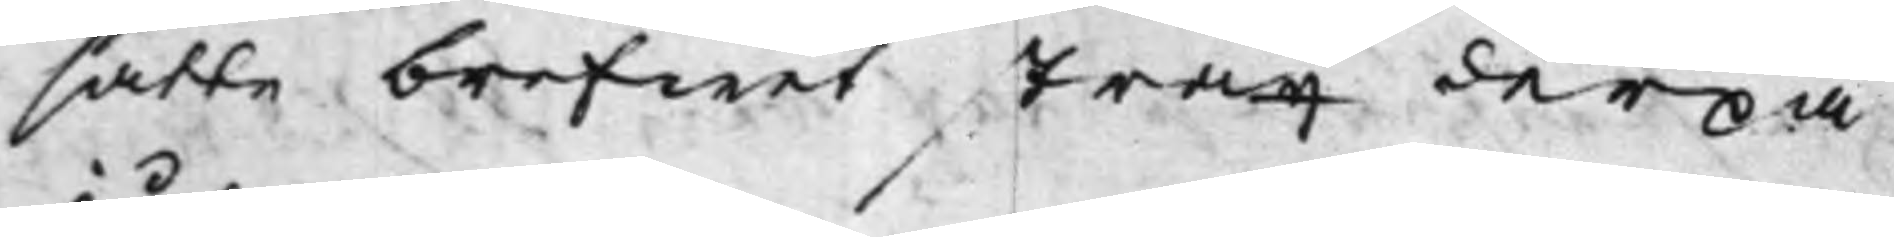satte brefwet strax derpå
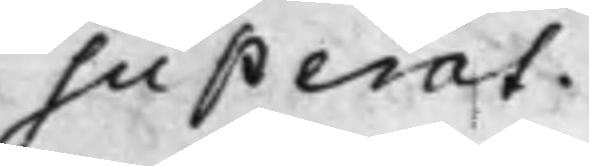superat.
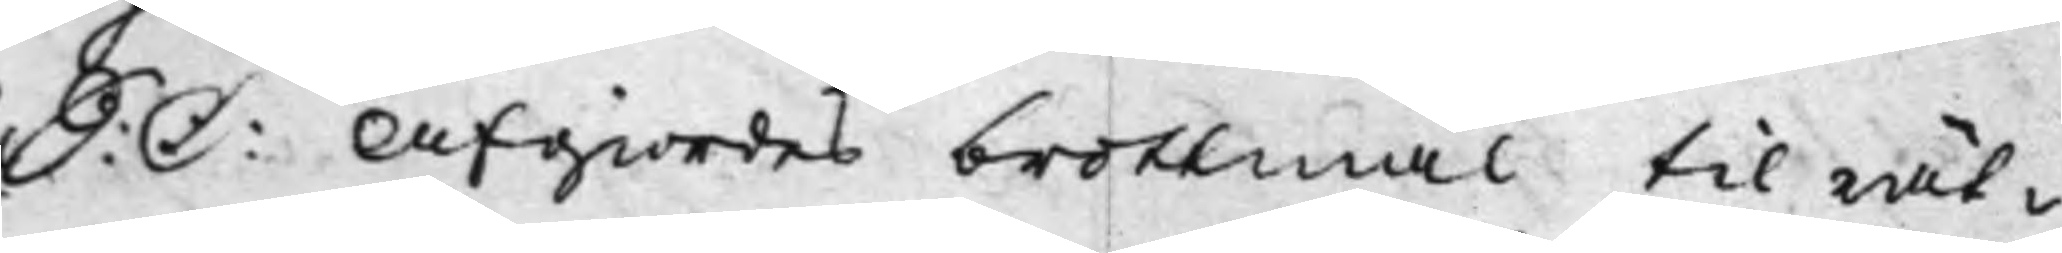S: D: Afgiordes brottmål til rät¬ 
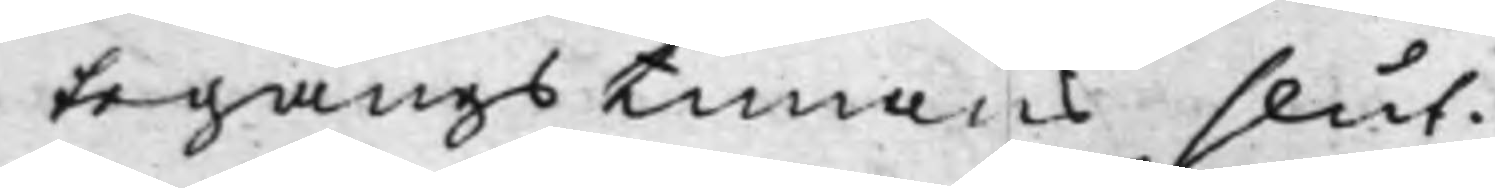tegångstimans slut.
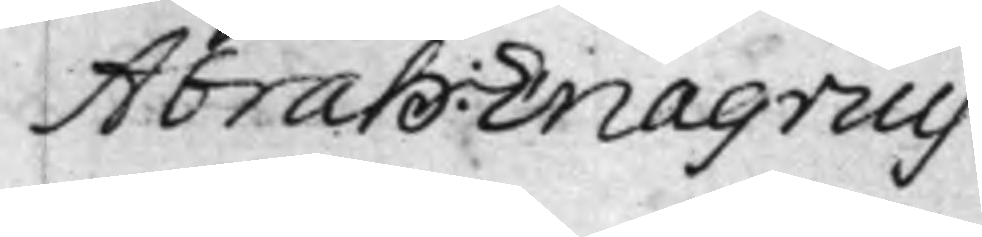Abrah: Enagrius
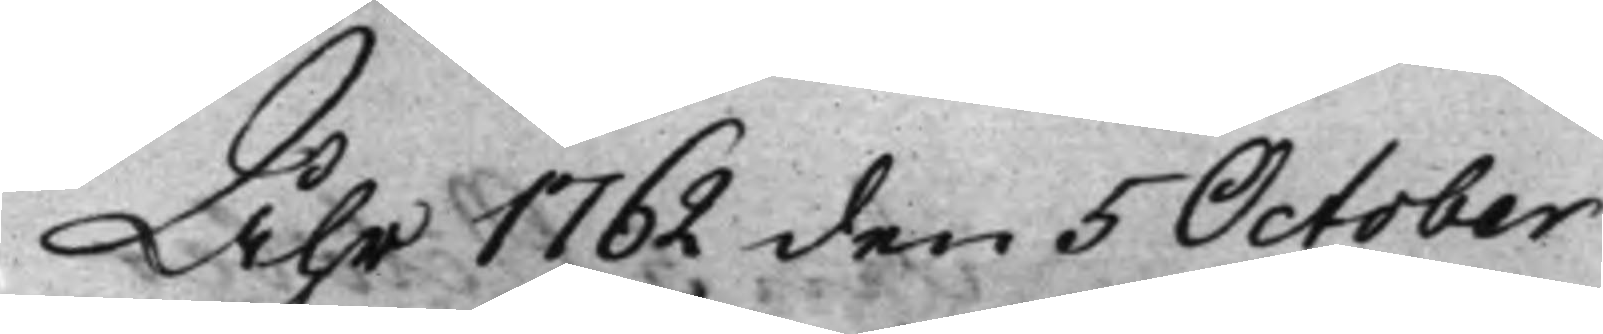Åhr 1762 den 5 October
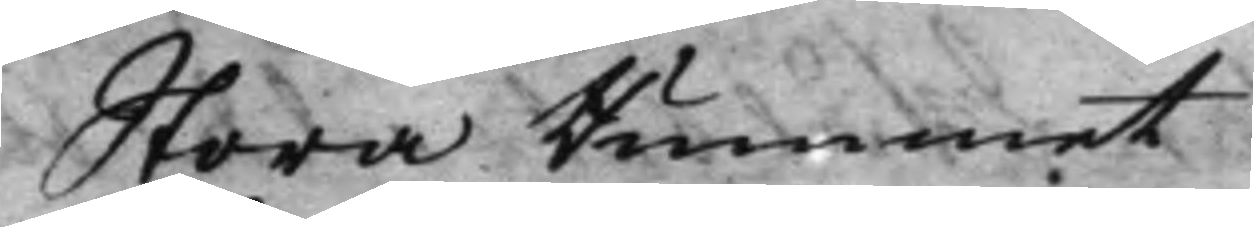Stora Rummet
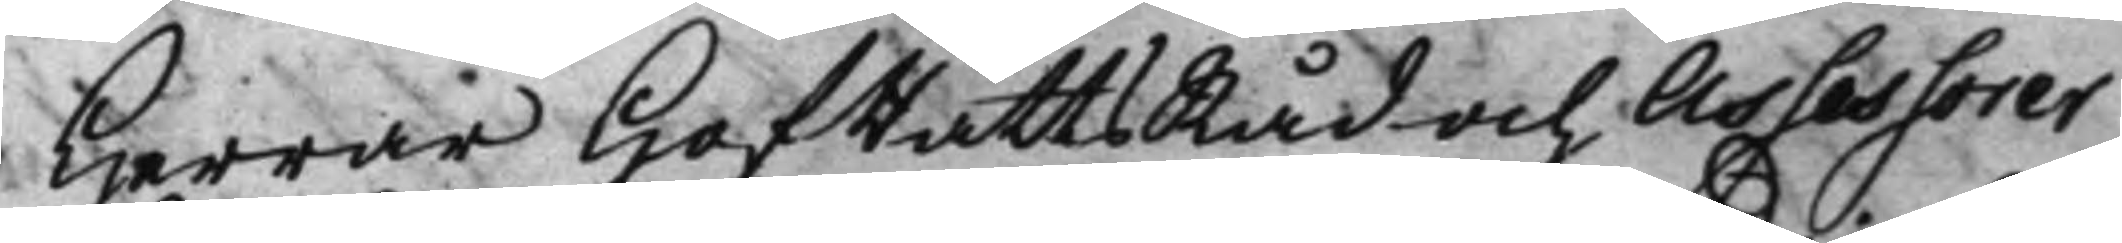Herrar HofRättsRåd och Assessorer
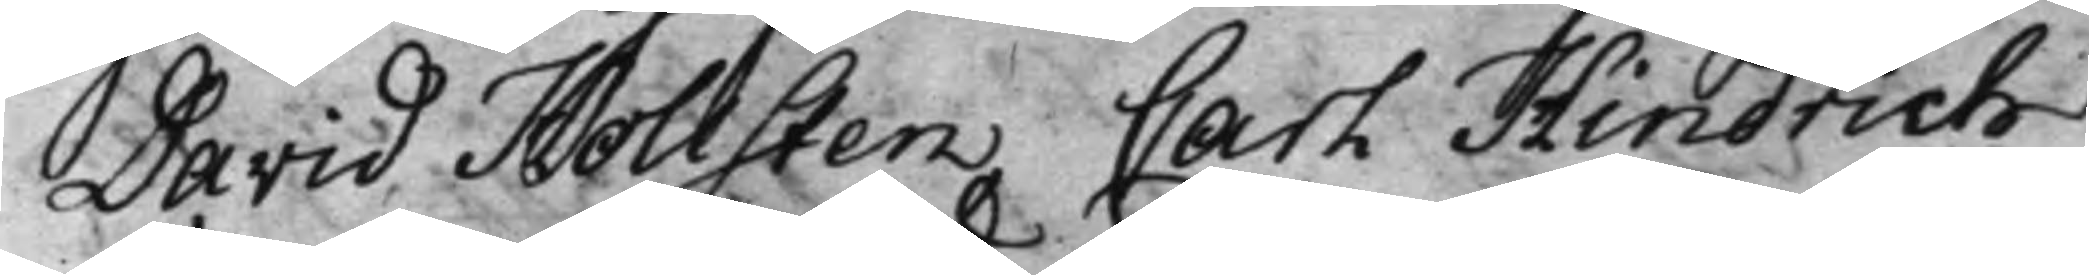David Hollsten Carl Hindrich
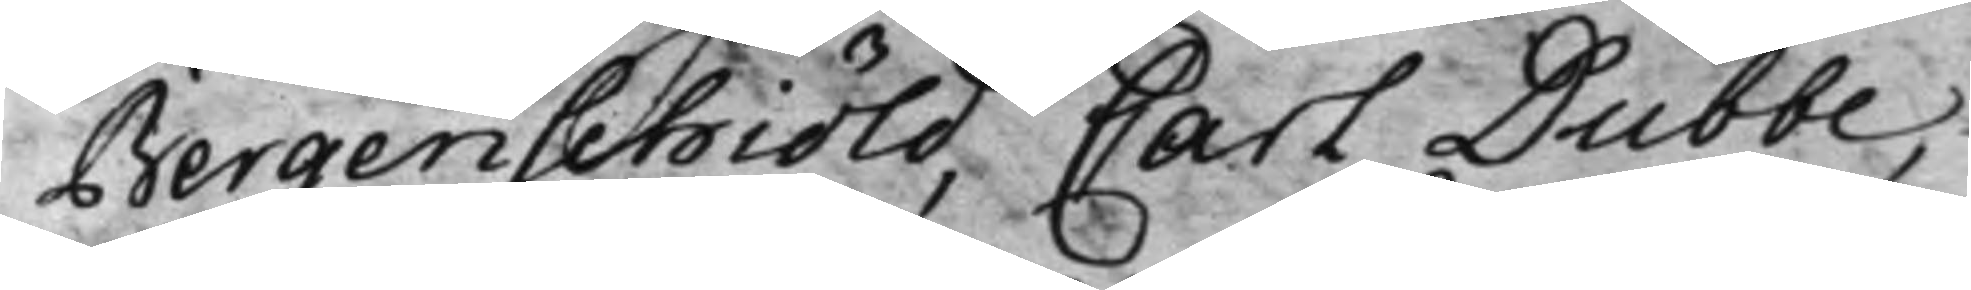Bergenschiöld, Carl Dubbe,
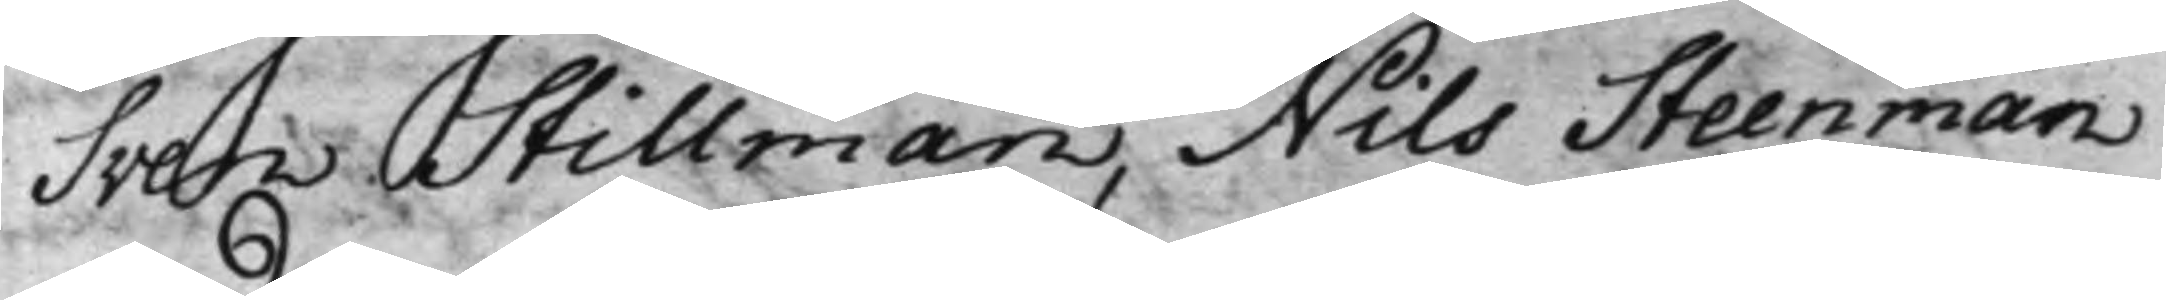Sven Stillman, Nils Steenman
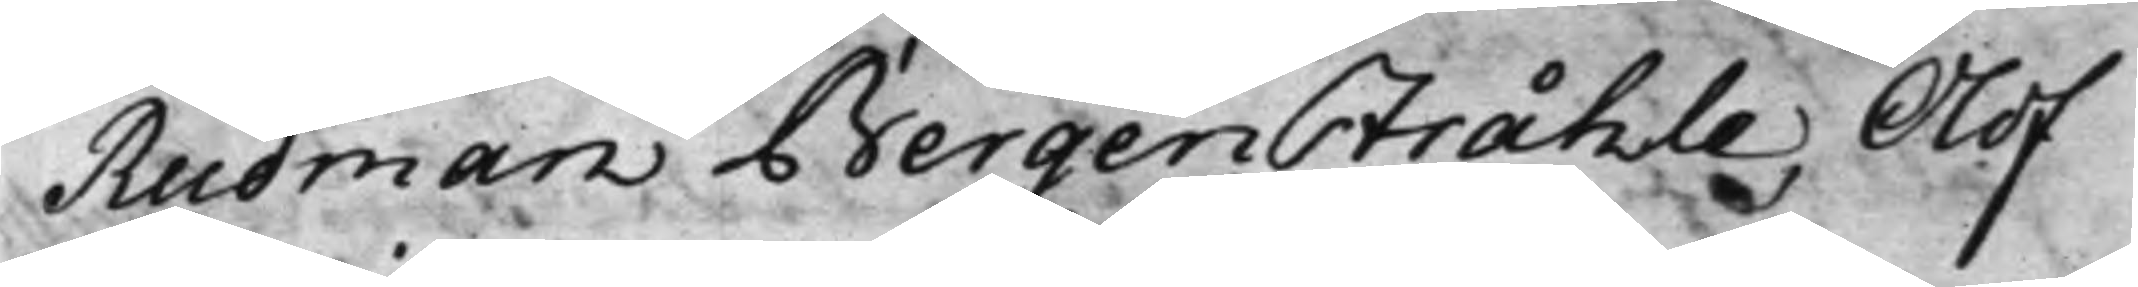Rudman Bergenstråhle, Olof
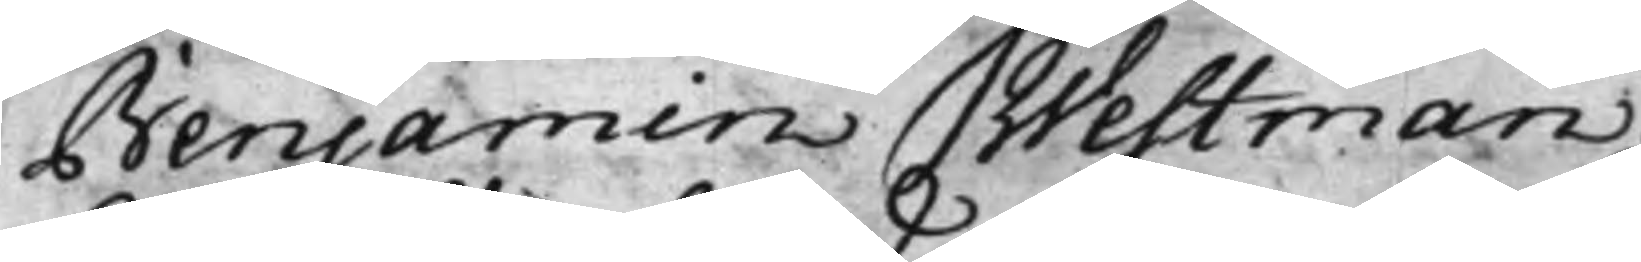Benjamin Westman.
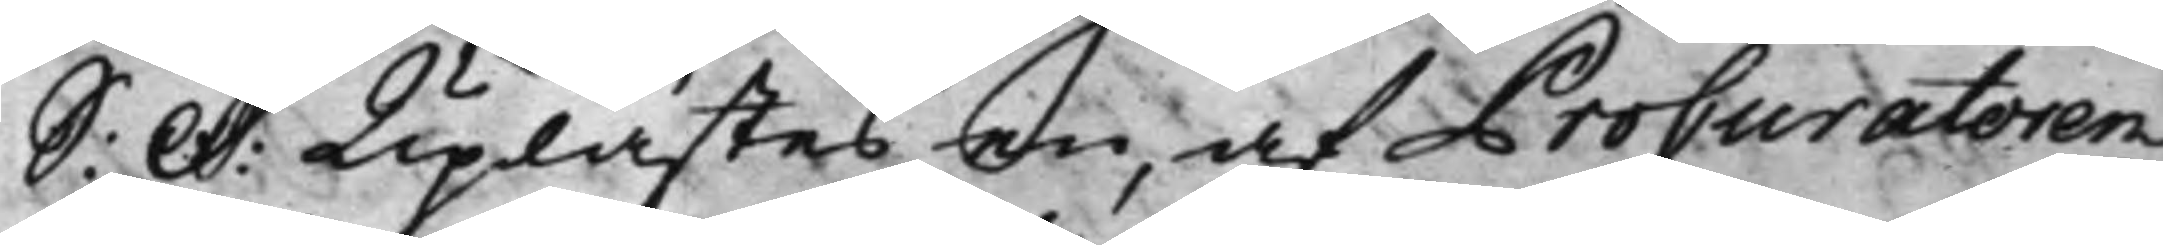S: D: Uplästes en af Procuratoren 
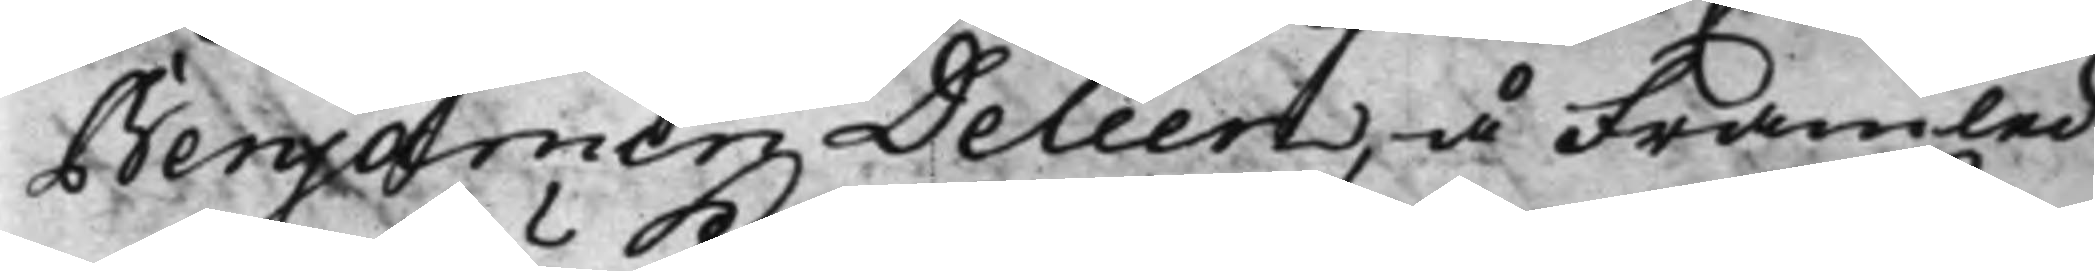Benjamin Deleen, å Framled¬
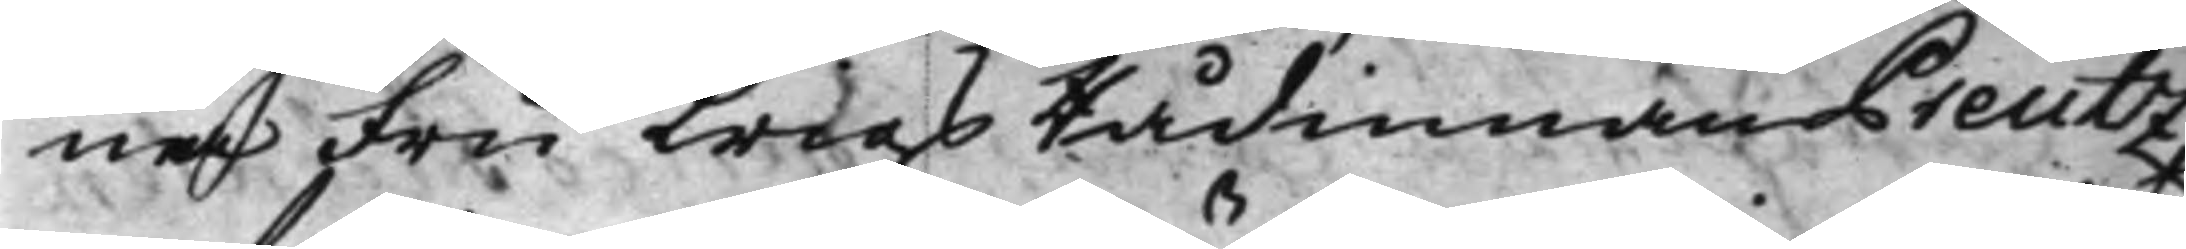na Fru KrigsRådinnan Preutz
